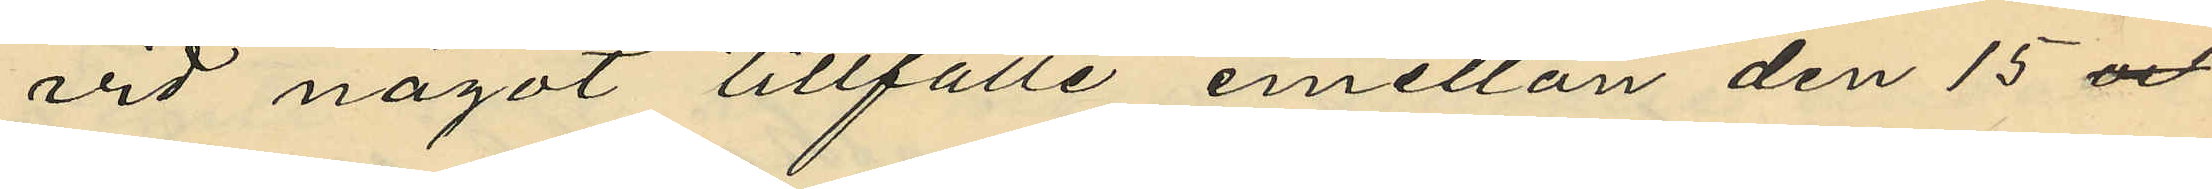vid något tillfälle emellan den 15 
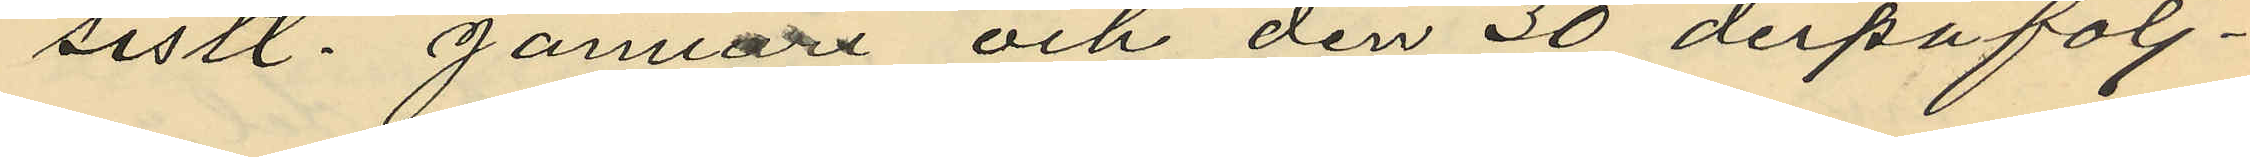sistl. Januari och den 30 derpåfölj¬
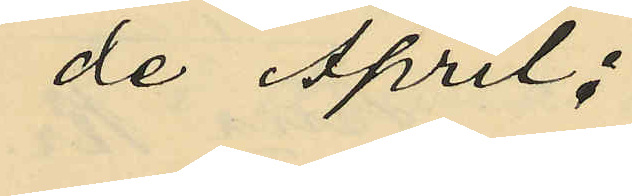de April;
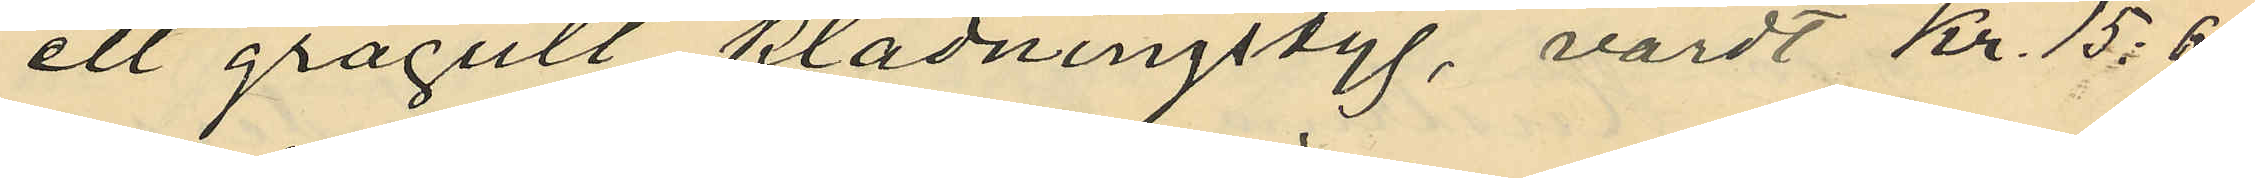ett grågult klädningstyg, värdt Kr. 15:60
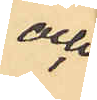och
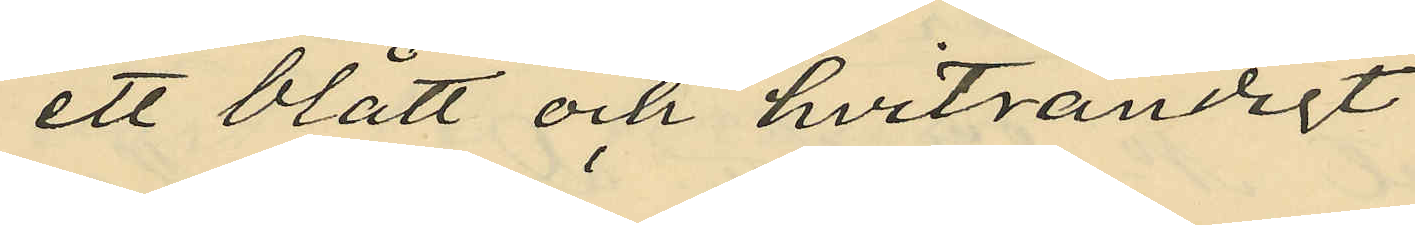ett blått och hvitrandigt
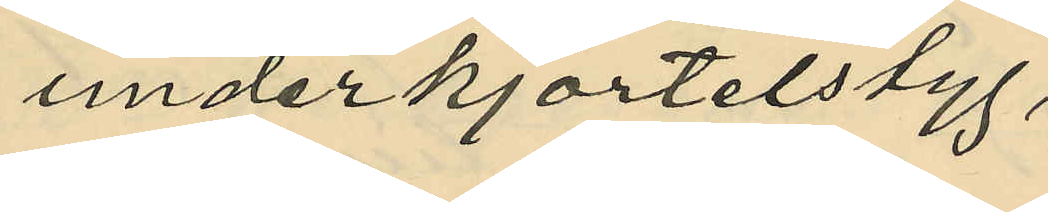underkjortelstyg,
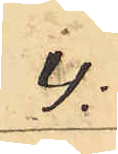4:
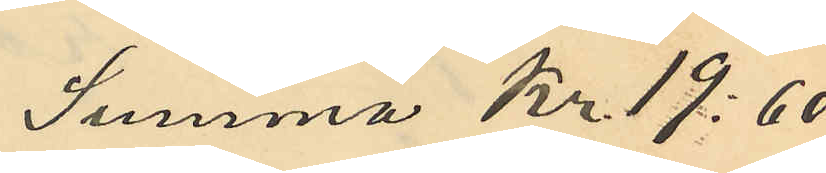Summa Kr. 19:60
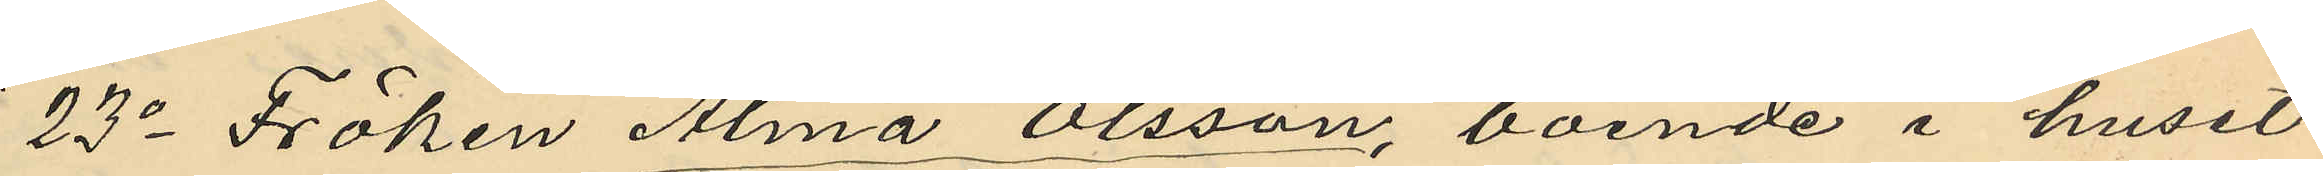23o Fröken Alma Olsson, boende i huset
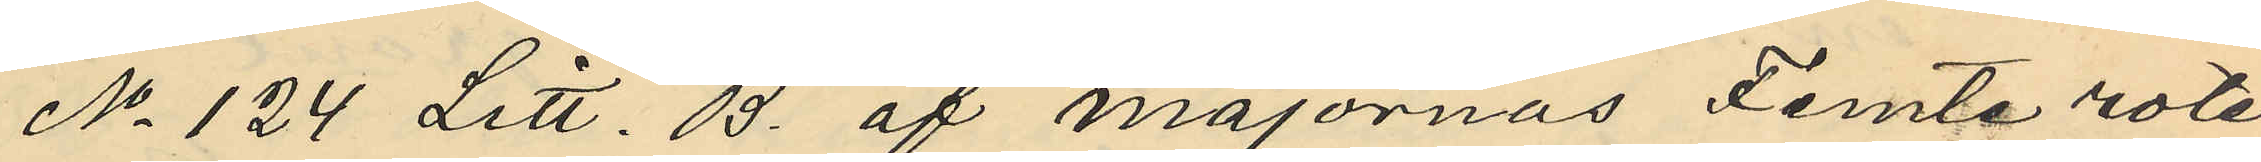No 124 Litt. B. af majornas Femte rote,
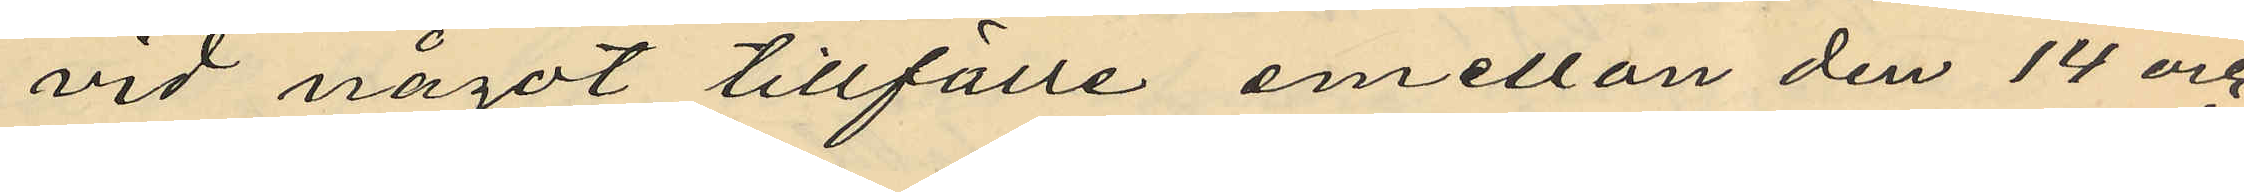vid något tillfälle emellan den 14 och
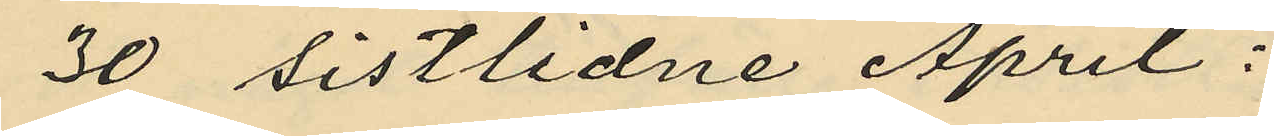30 sistlidne April:
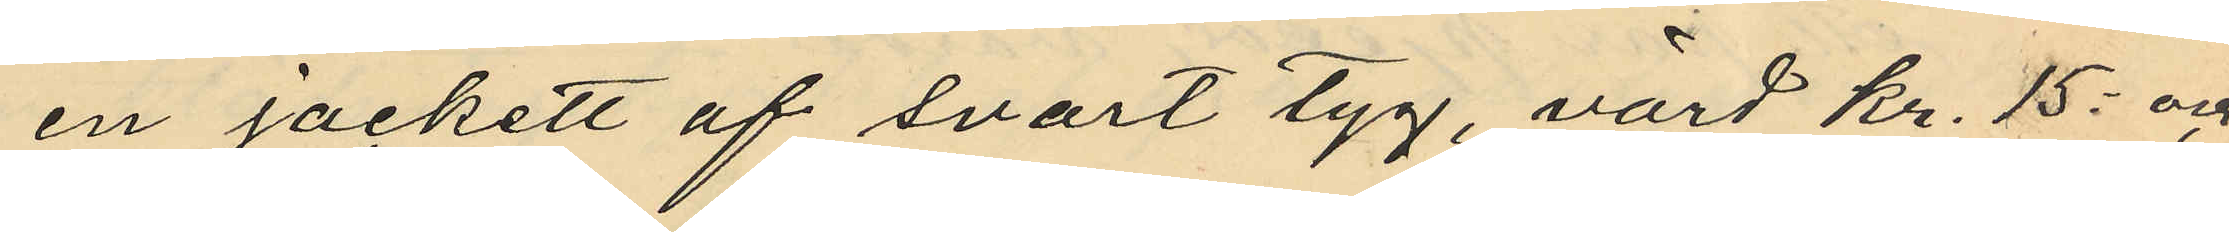en jäckett af svart tyg, värd kr. 15: och
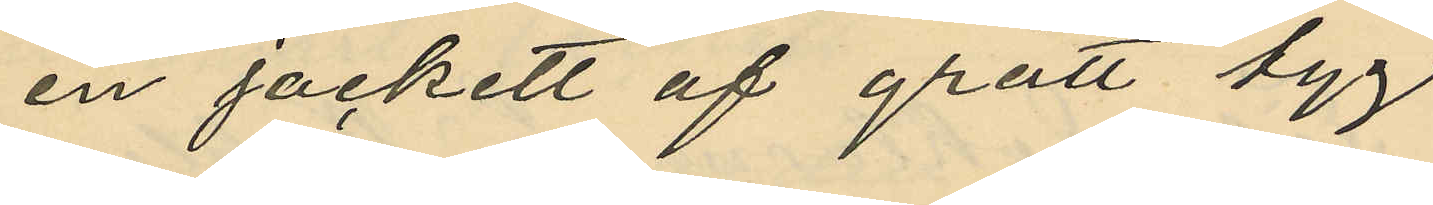en jackett af grått tyg
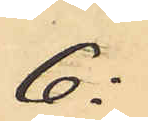6:
